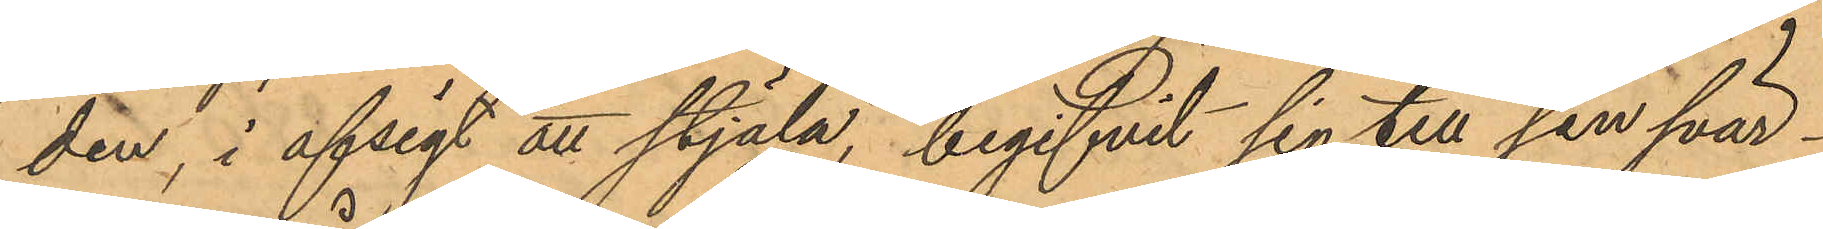den, i afsigt att stjäla, begifvit sig till sin svär¬
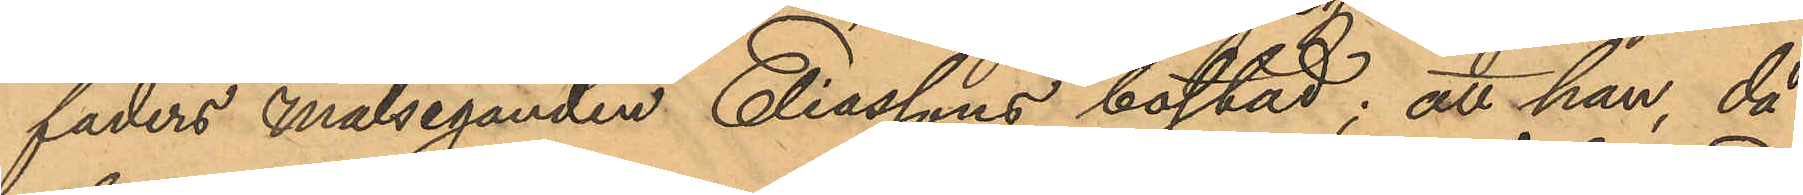faders Målseganden Eliassons bostad; att han, då
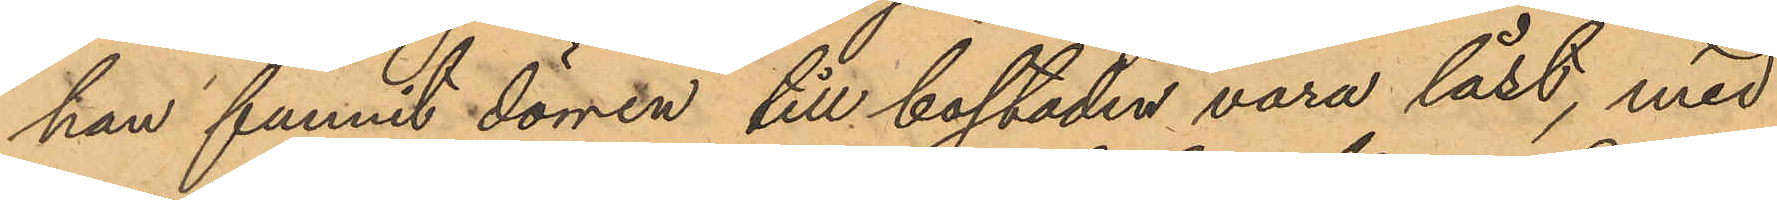han funnit dörren till bostaden vara låst, med
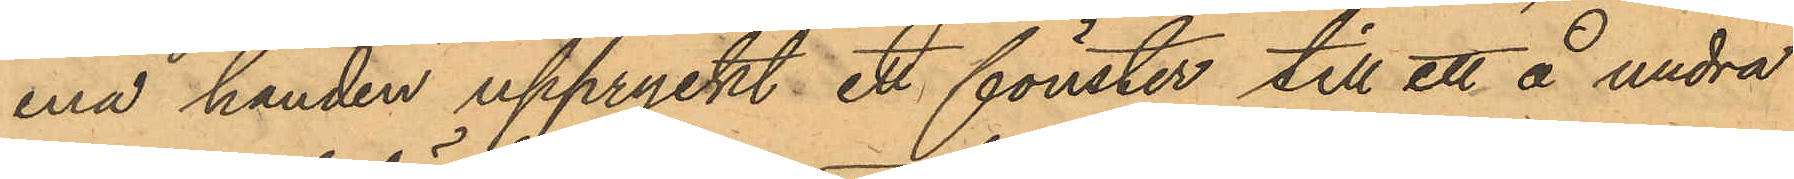ena handen uppryckt ett fönster till ett å undra
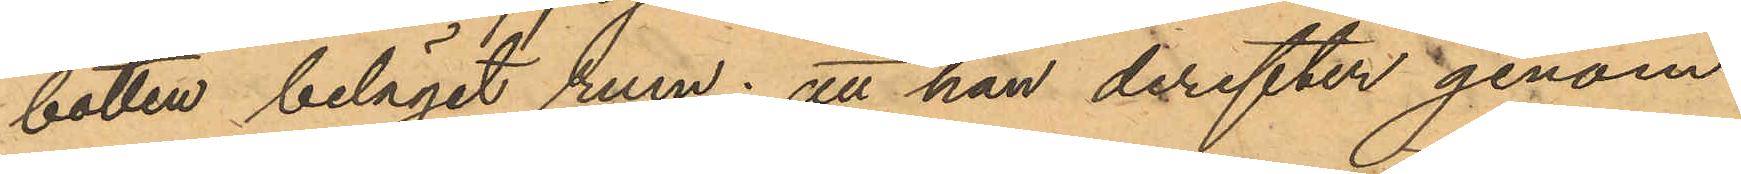botten beläget rum; att han derefter genom
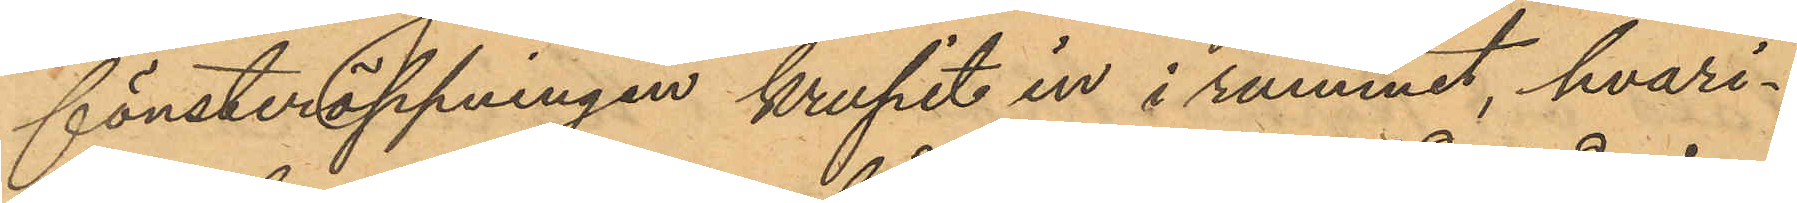fönsteröppningen krupit in i rummet, hvari¬
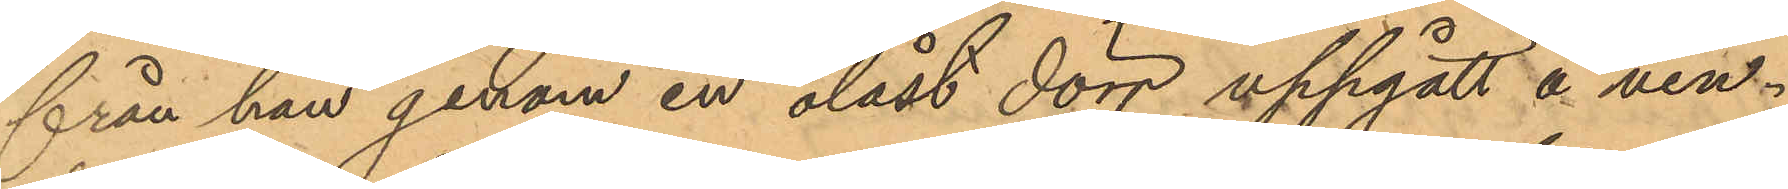från han genom en olåst dörr uppgått å vin¬
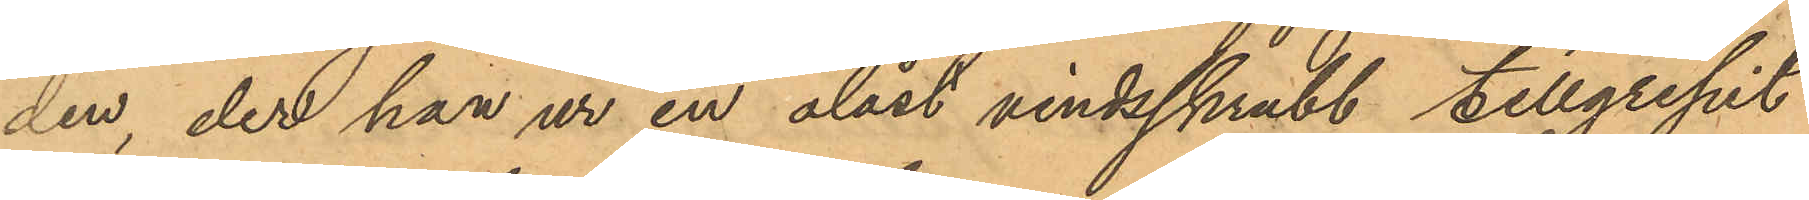den, der han ur en olåst vindsskrubb tillgripit
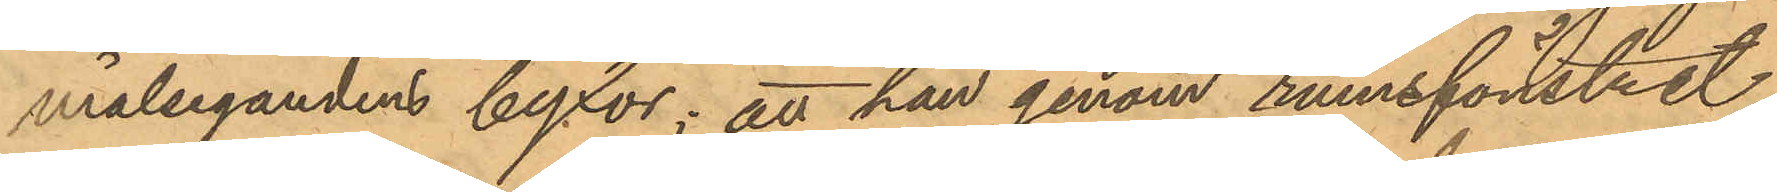målsegandens byxor; att han genom rumsfönstret
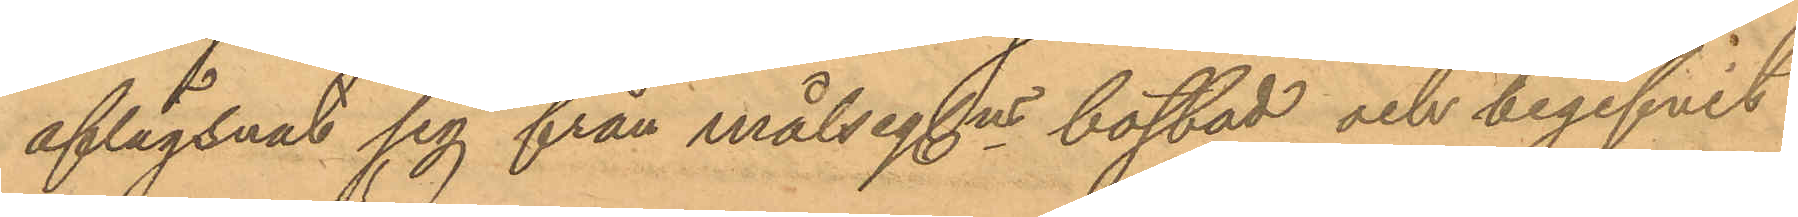aflägsnat sig från målseg.ns bostad och begifvit
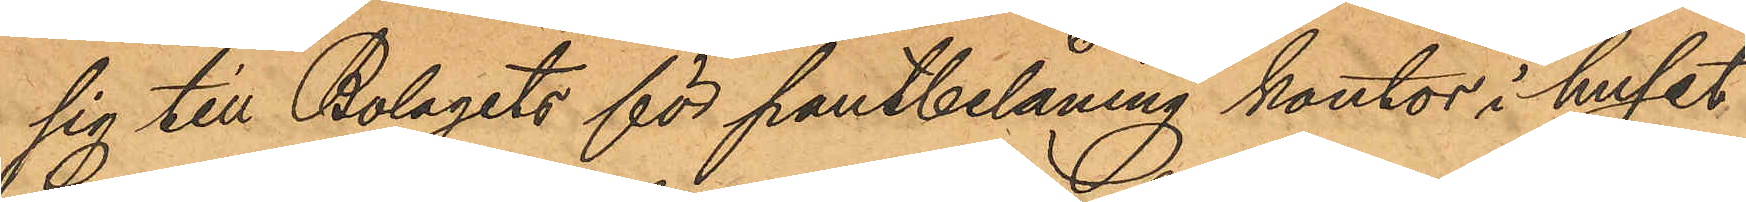sig till Bolagets för pantbelåning kontor i huset
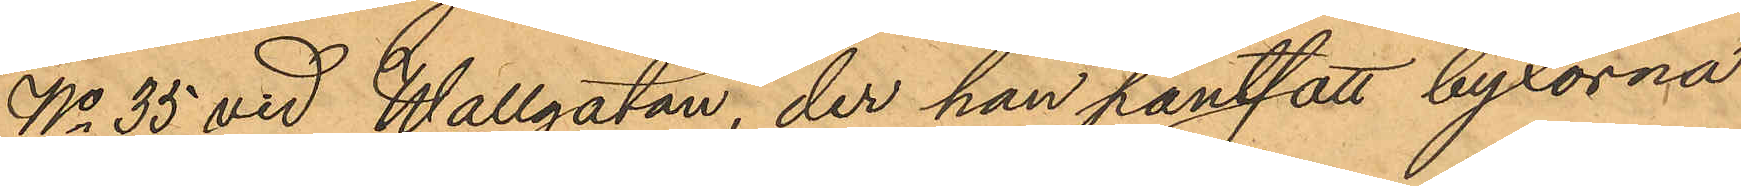No 35 vid Wallgatan, der han pantsatt byxorna
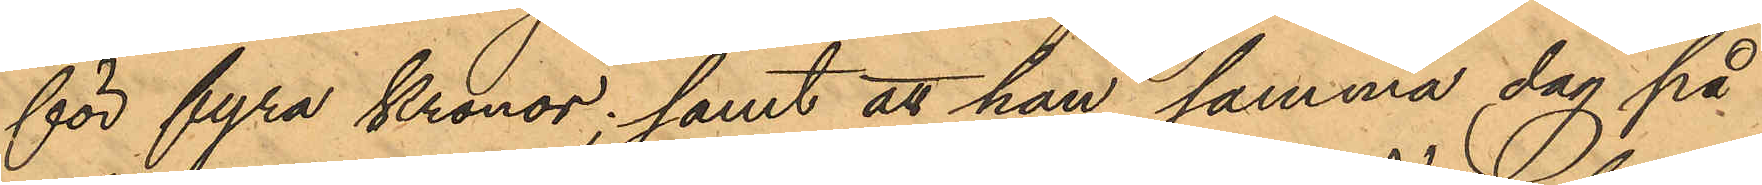för fyra Kronor; samt att han samma dag på
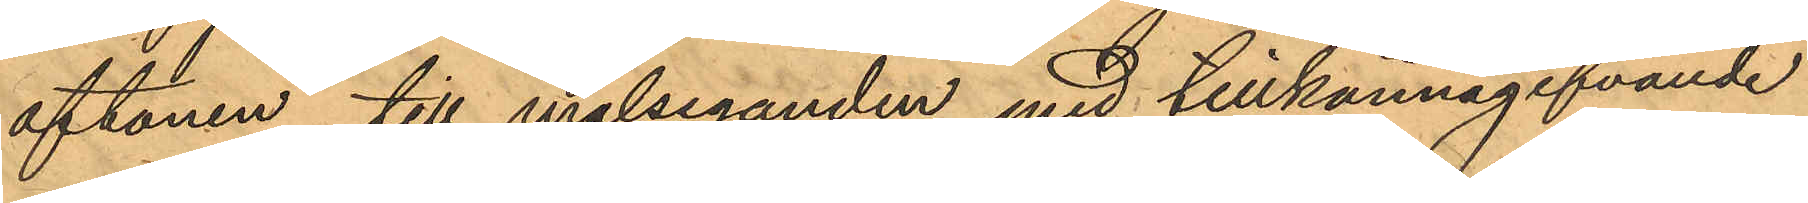aftonen till målseganden, med tillkännagifvande
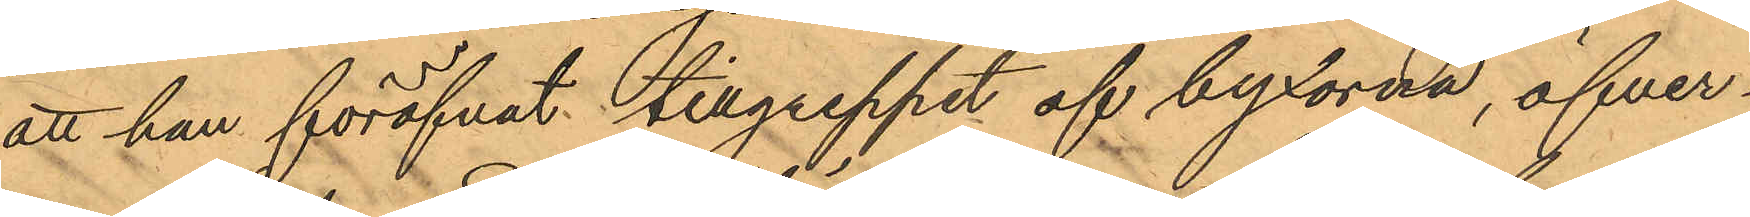att han föröfvat tillgreppet af byxorna, öfver¬
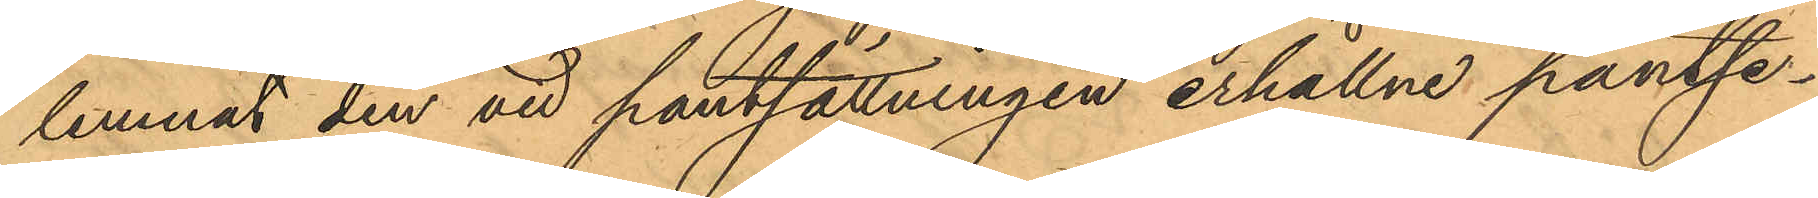lemnat den vid pantsättningen erhållne pantse¬
